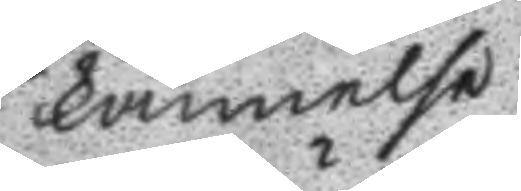kännelse.
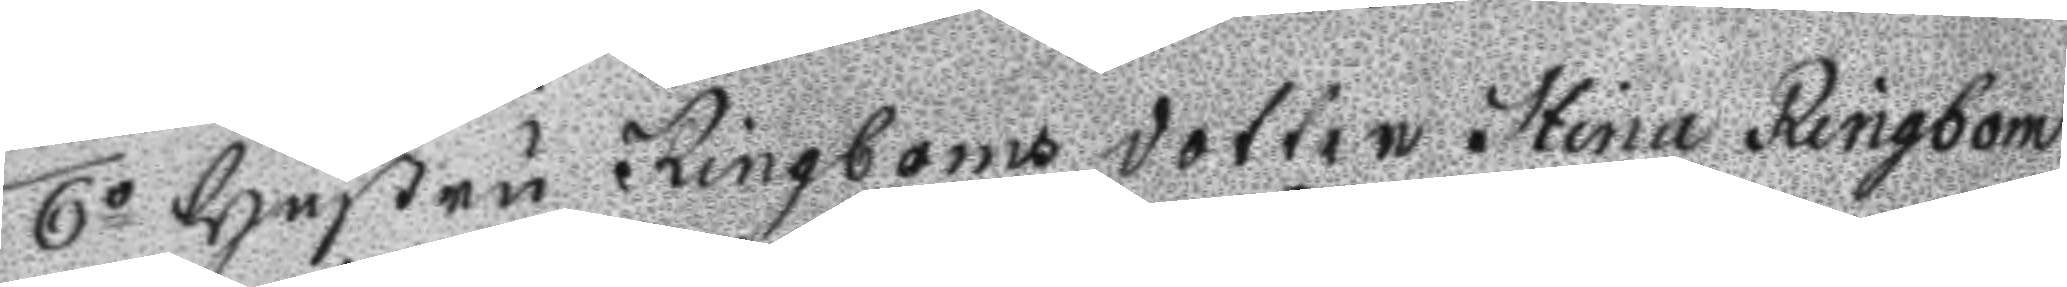6o Hustru Ringboms dotter Stina Ringbom
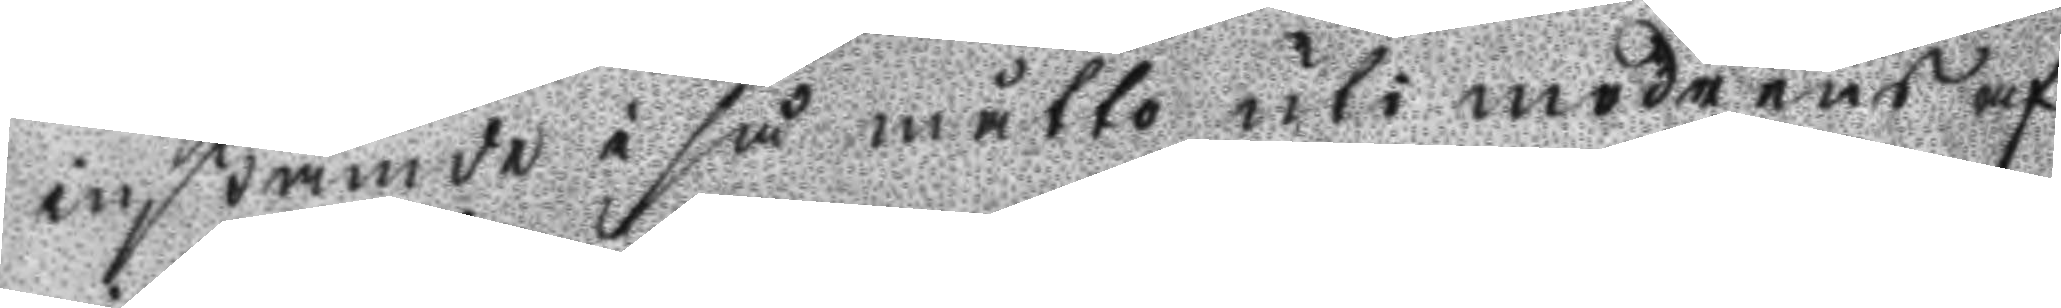instämde i så måtto uti modrens af
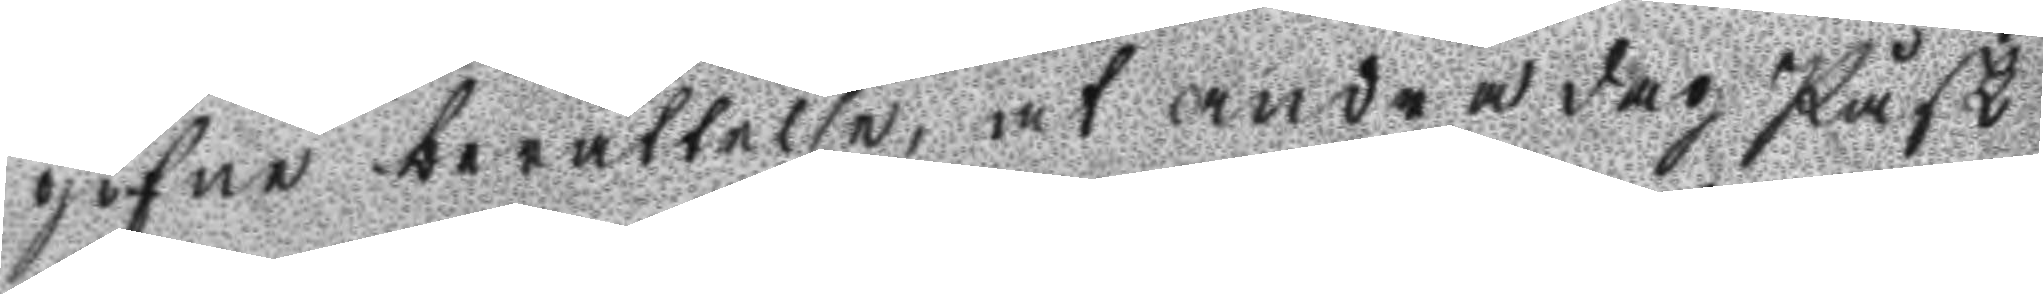gifne berättelse, at andra dag Påsk
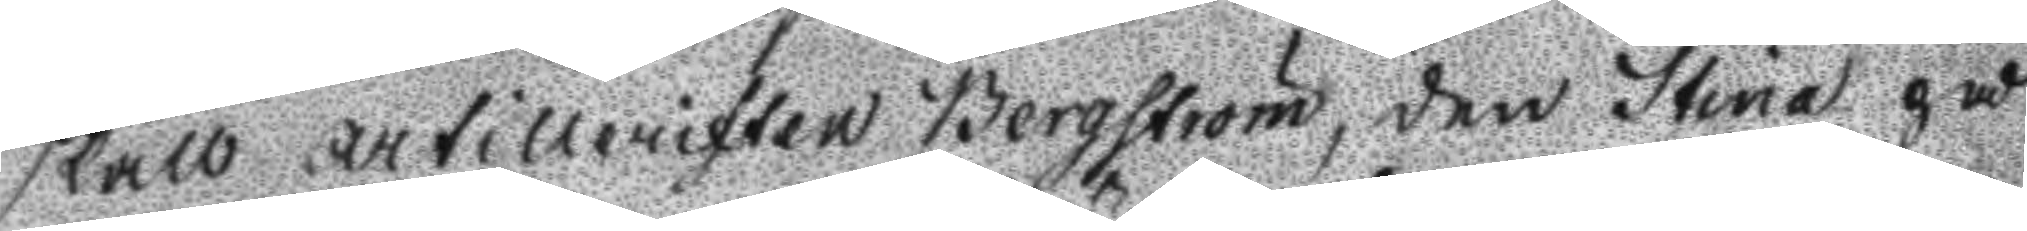skall artilleristen Bergström, den Stina på
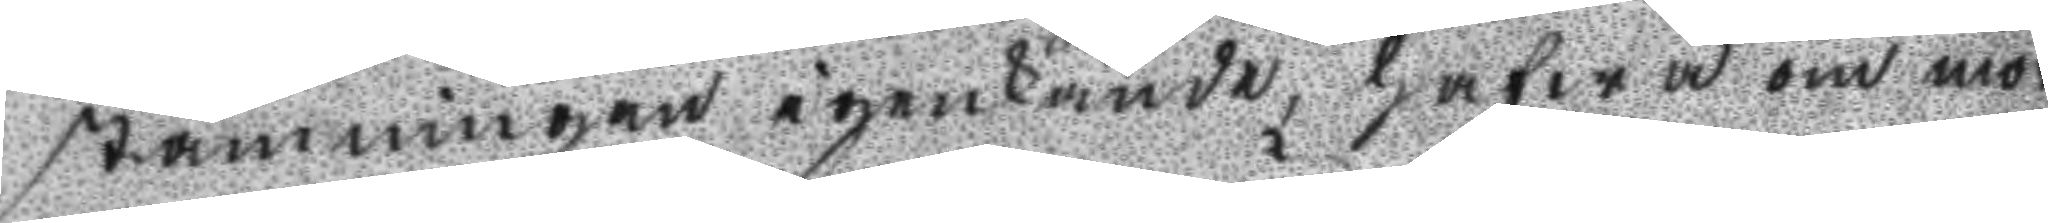stamningen igenkände, hafwa om mor¬
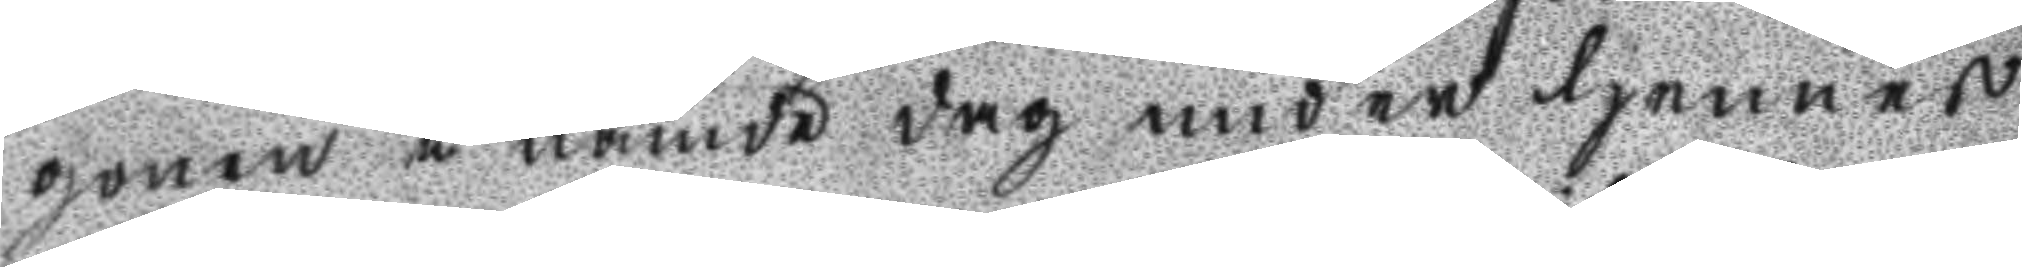gonen å nämde dag under hennes
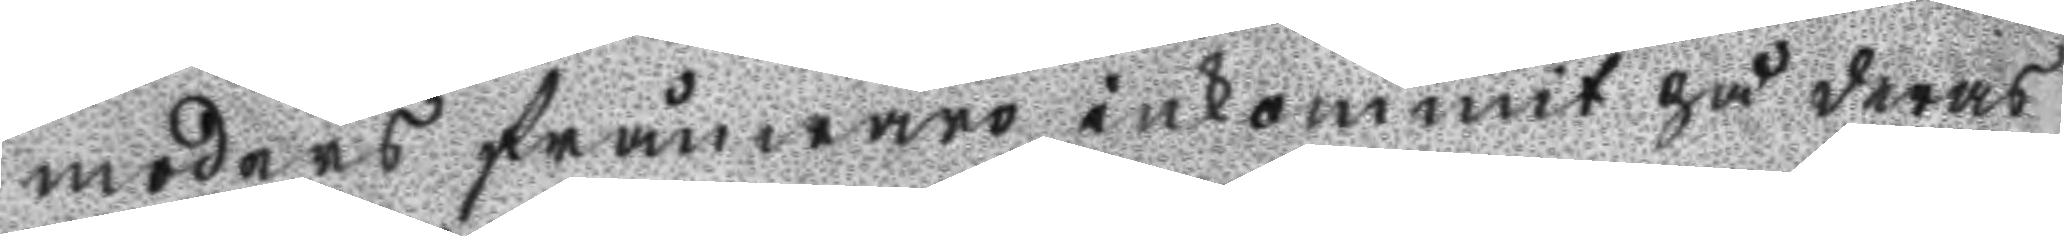moders frånwaro inkommit på deras
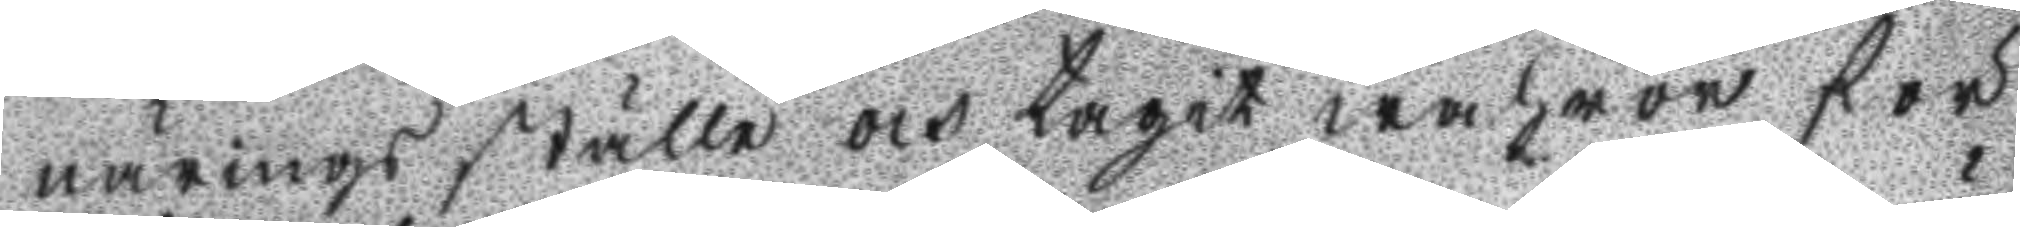närings ställe och tagit wahror för
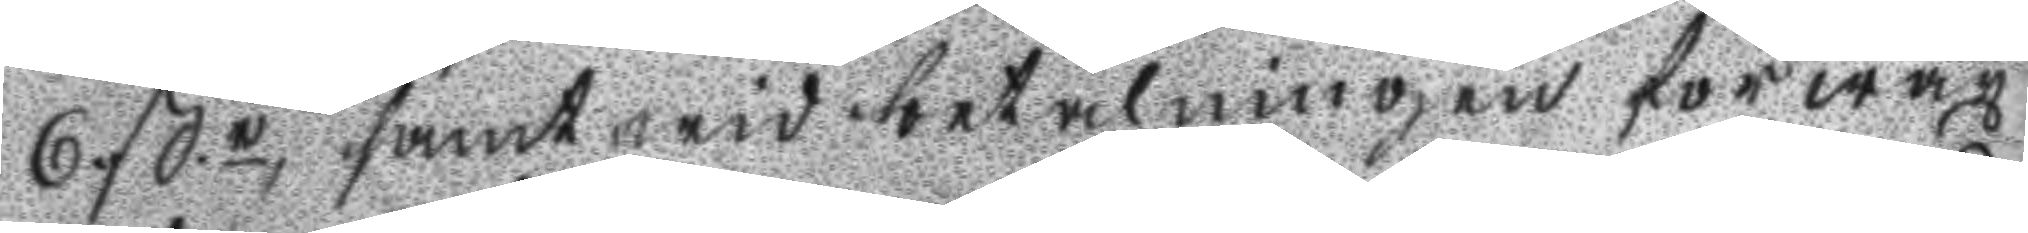6 ßr, samt wid betalningen förwäx
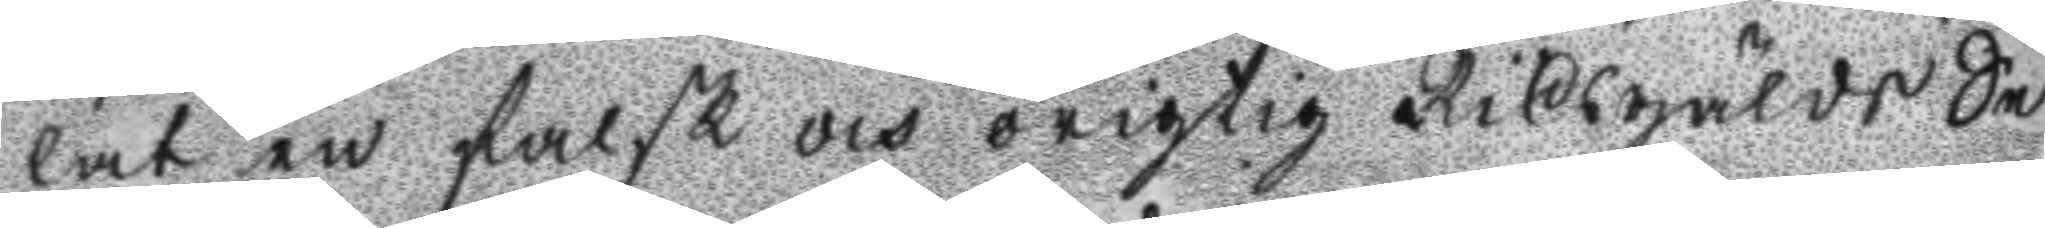lat en falsk och origtig Riksgälds Se¬
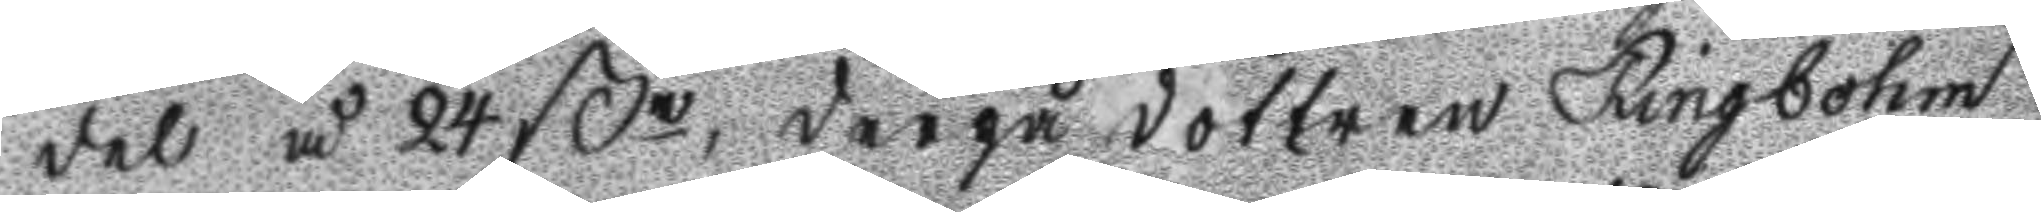del å 24 ßr, derpå dottren Ringbohm
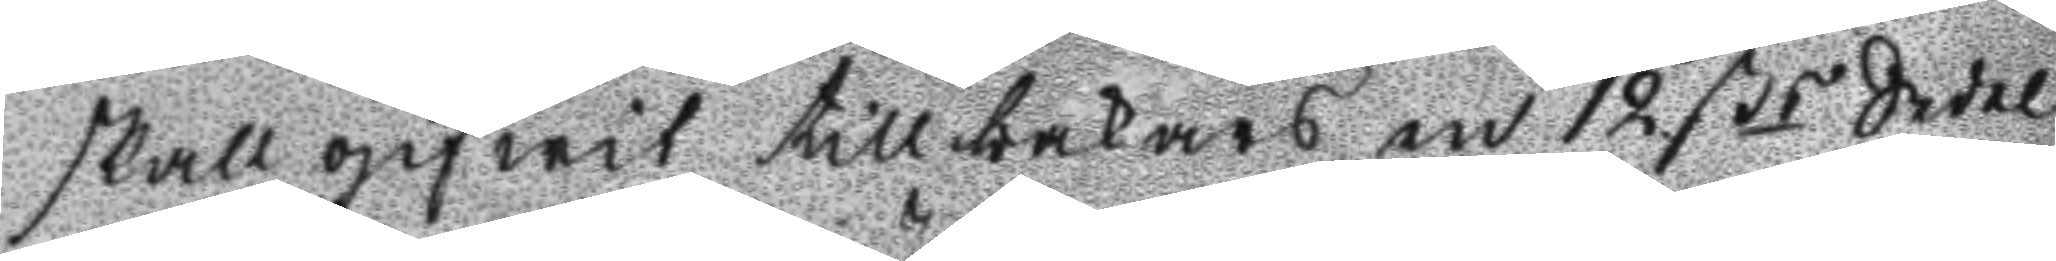skall gifwit tillbakars en 12 ßr Sedel
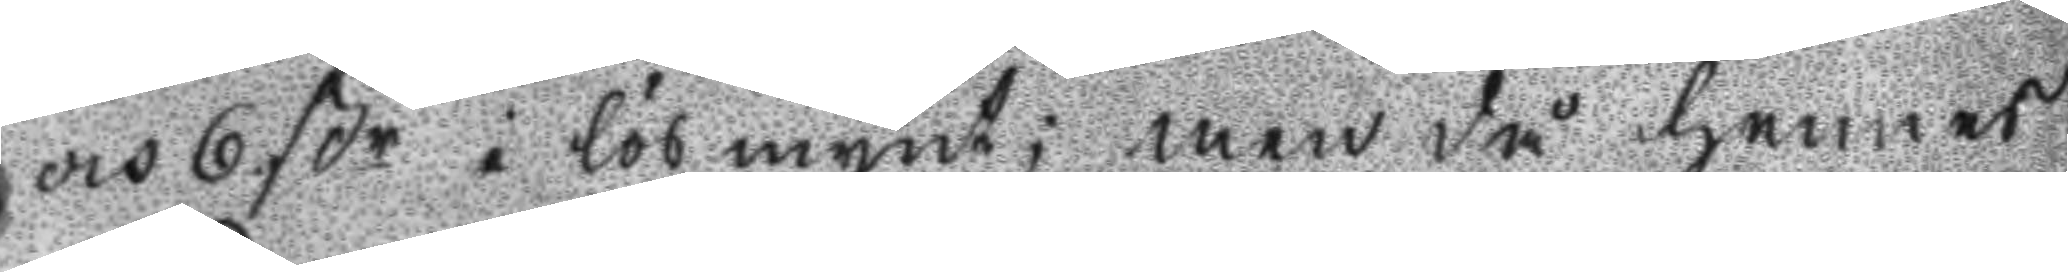och 6 ßr i lösmynt; men då hennes
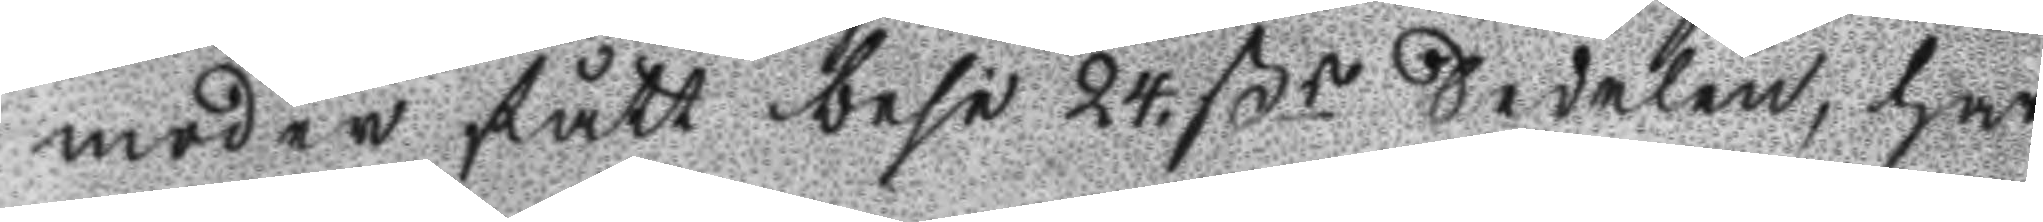moder fått bese 24. ßr Sedelen, har
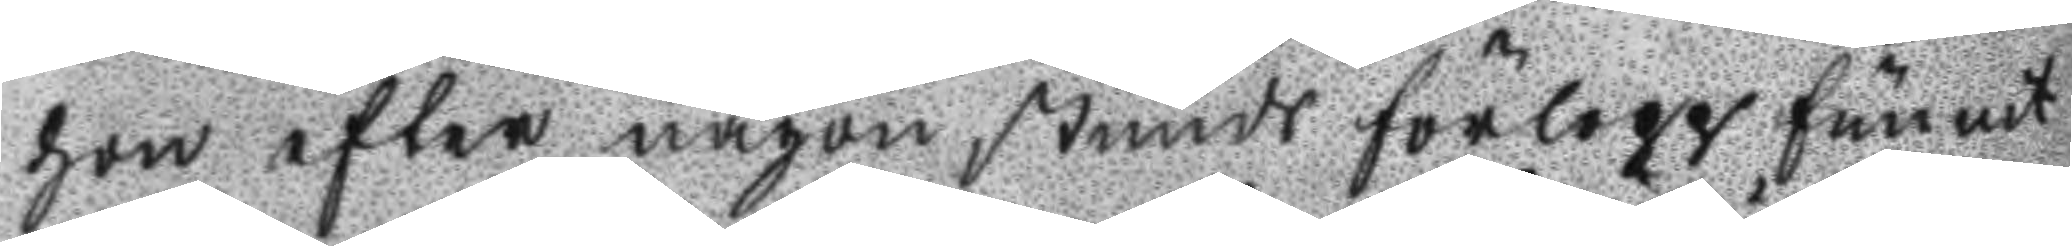hon efter någon stunds förlopp funnit
